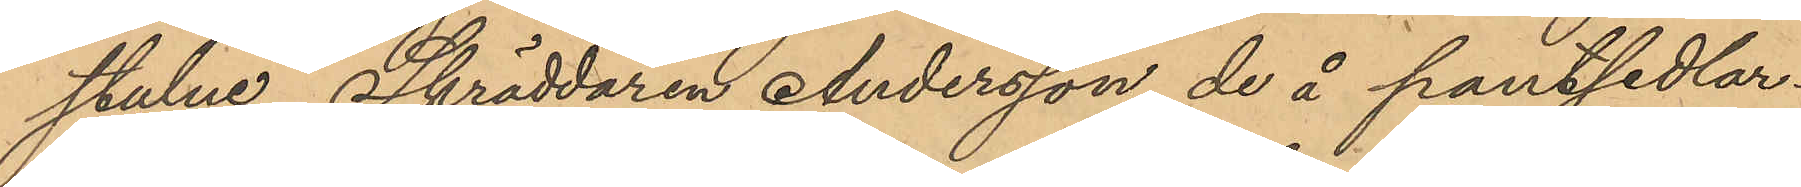stulne, Skräddaren Andersson de å pantsedlar¬
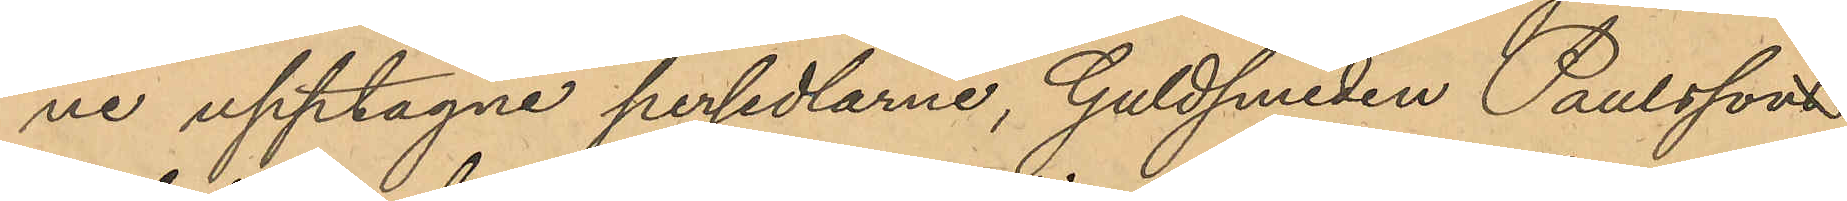ne upptagne persedlarne, Guldsmeden Paulsson
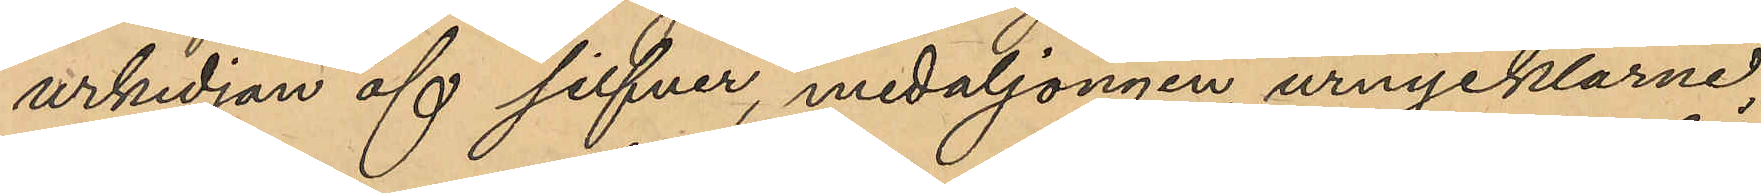urkedjan af silfver, medaljongen, urnycklarne,
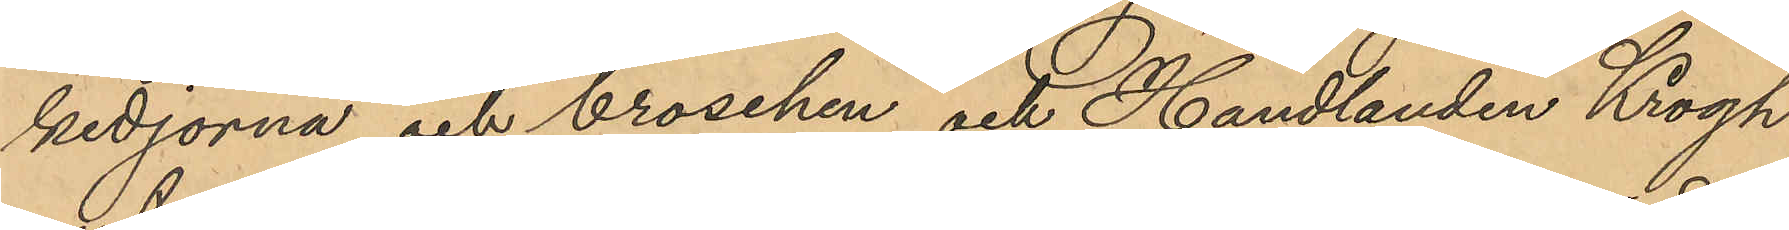kedjorna och broschen och Handlanden Krogh
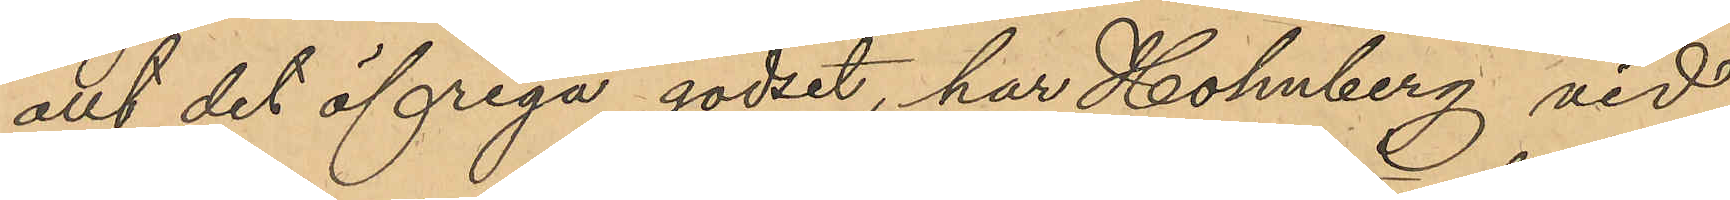allt det öfriga godset, har Holmberg vid
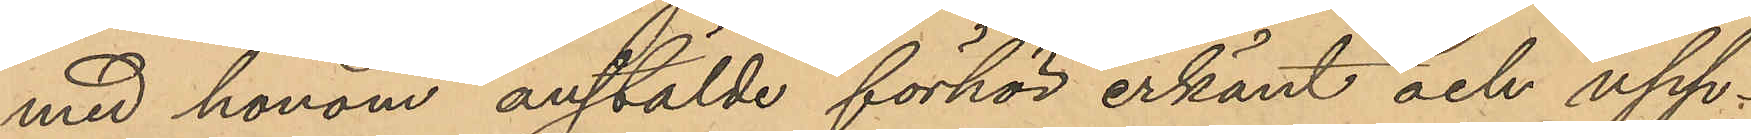med honom anstälde förhör erkänt och upp¬
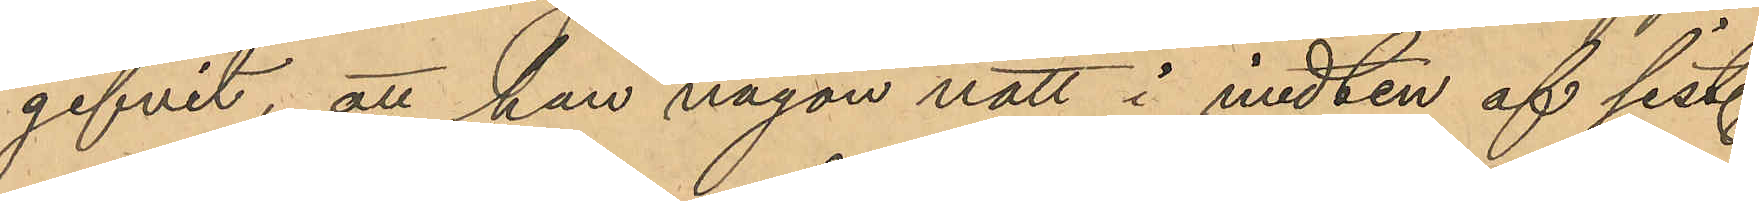gifvit, att han någon natt i midten af sist.
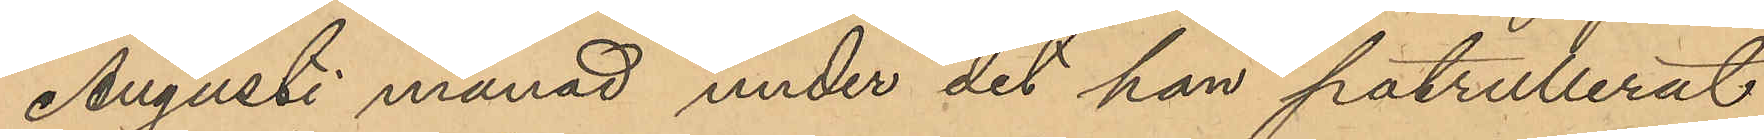Augusti månad under det han patrullerat
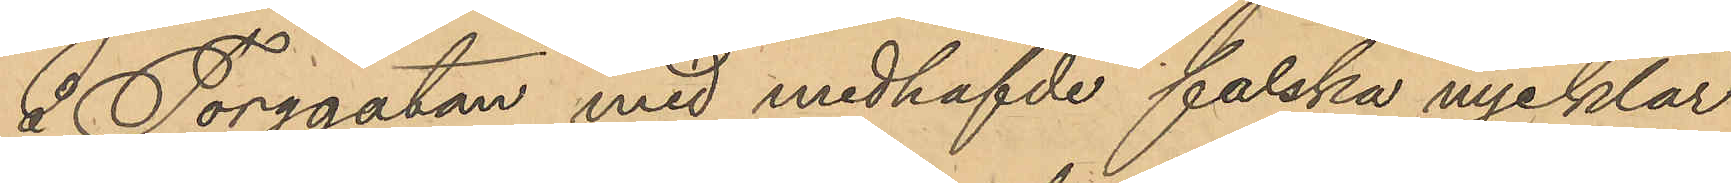å Torggatan med medhafvde falska nycklar
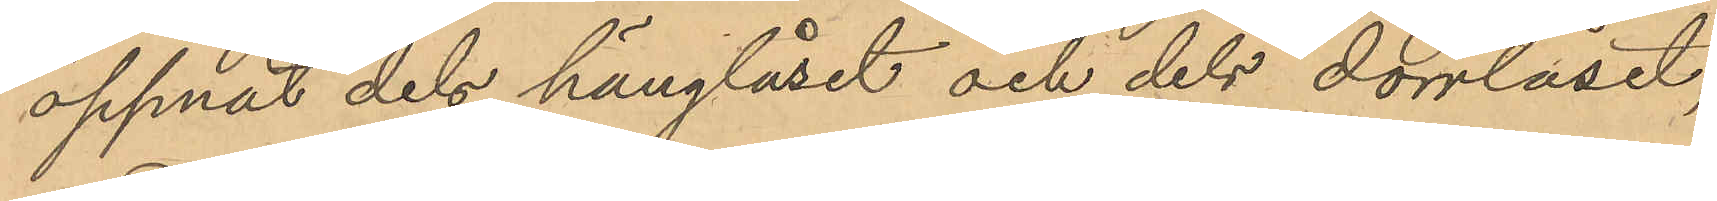öppnat dels hänglåset och dels dörrlåset,
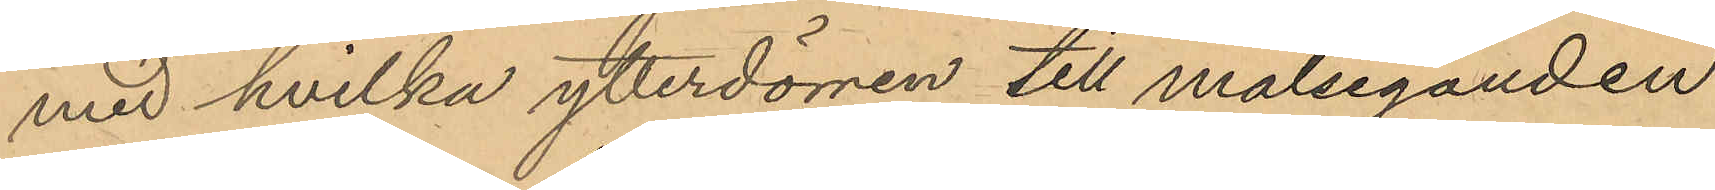med hvilka ytterdörren till målseganden
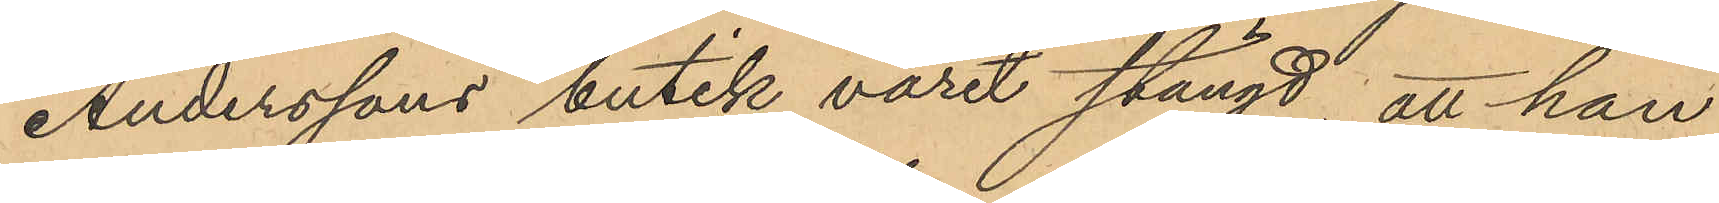Anderssons butik varit stängd, att han
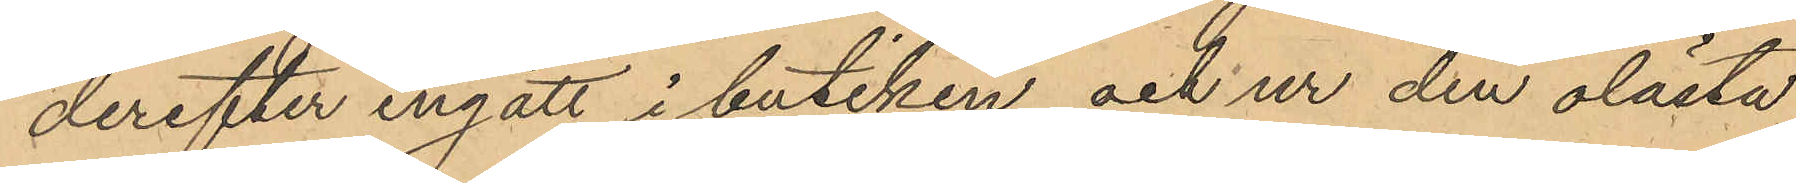derefter ingått i butiken och ur den olästa
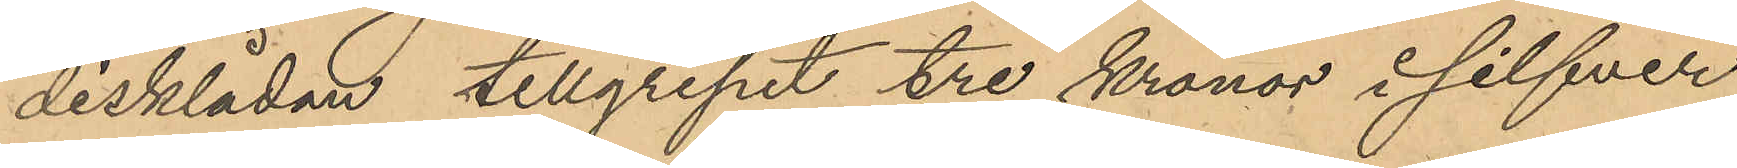disklådan tillgripit tre kronor i silfver
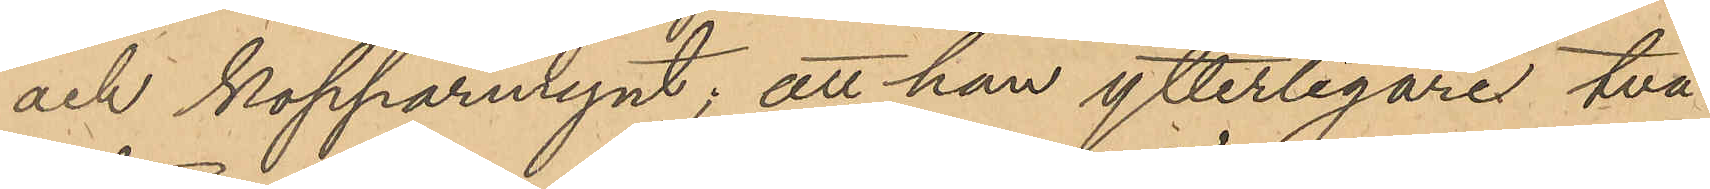och kopparmynt; att han ytterligares två
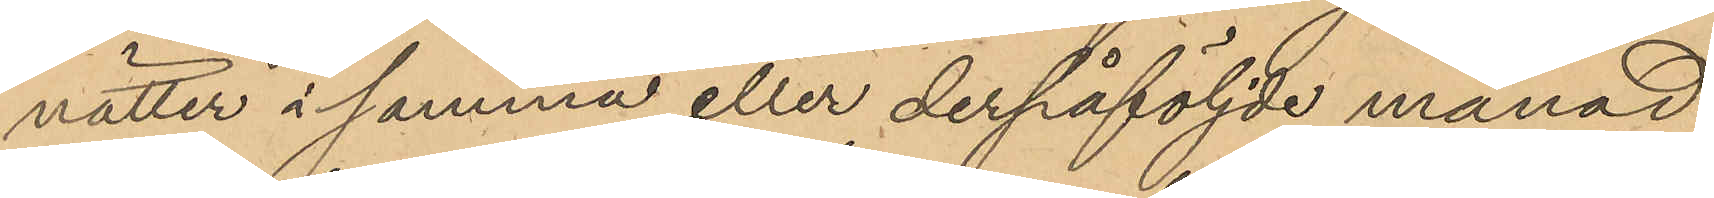nätter i samma eller derpåföljde månad
